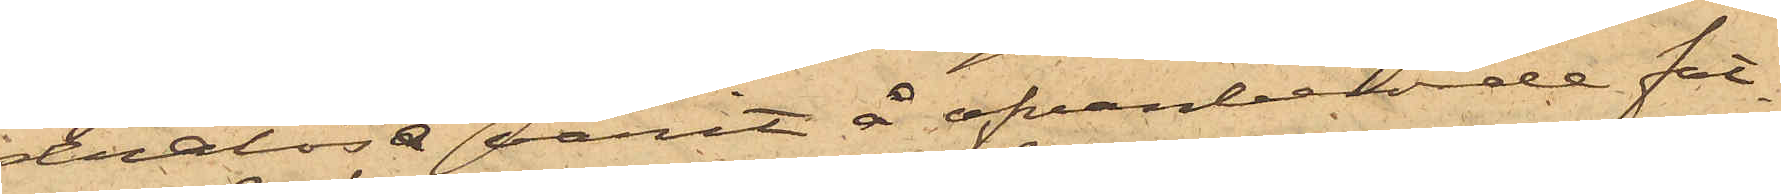dralösa varit å ofvanberörde fat¬
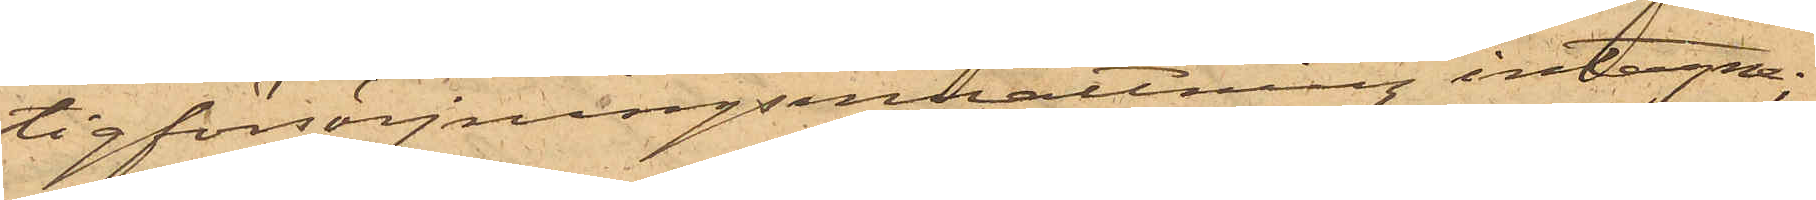tigförsörjningsinrättning intagna;
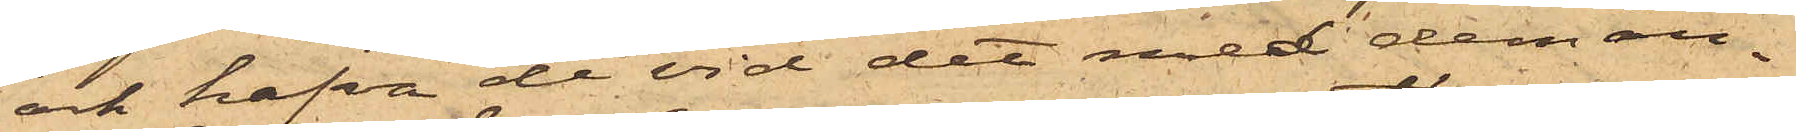och hafva de vid det med dem an¬
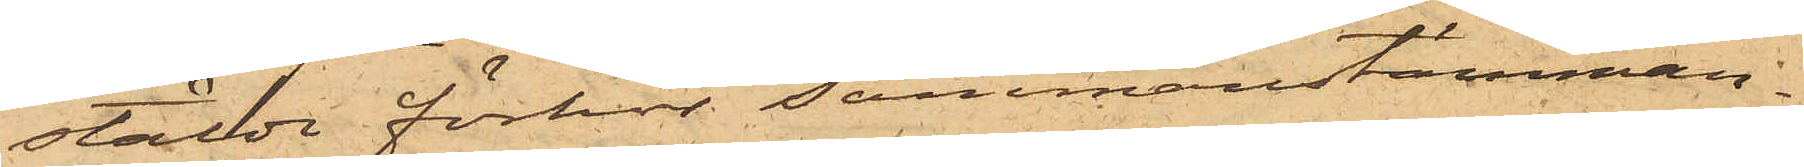stälda förhör sammanstämman¬
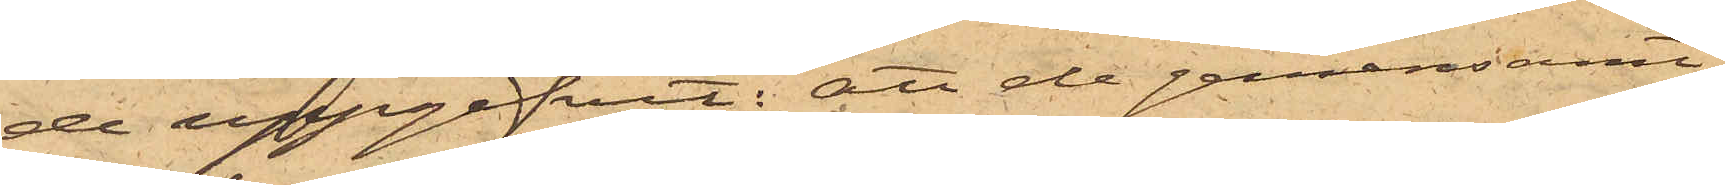de uppgifvit: att de gemensamt
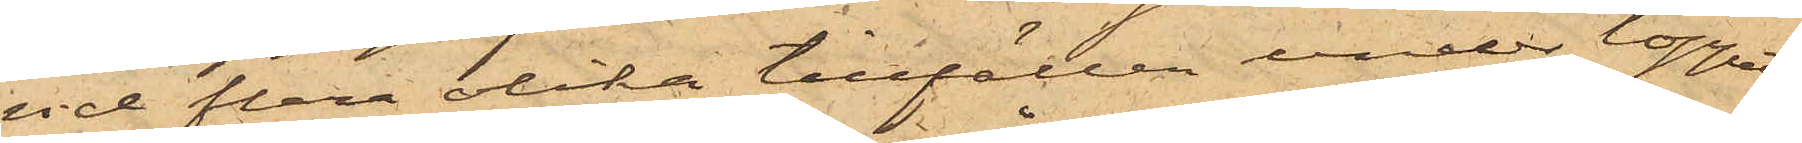vid flera olika tillfällen under loppet
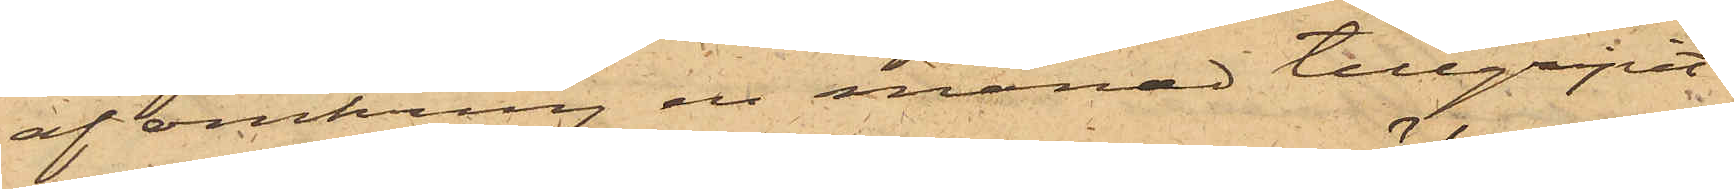af omkring en månad tillgripit
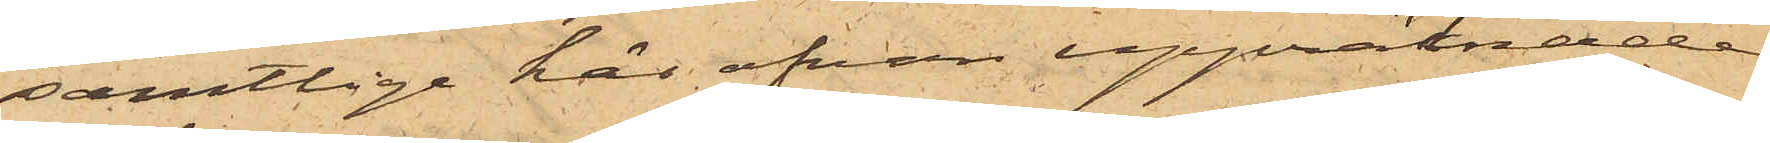samtlige här ofvan uppräknade
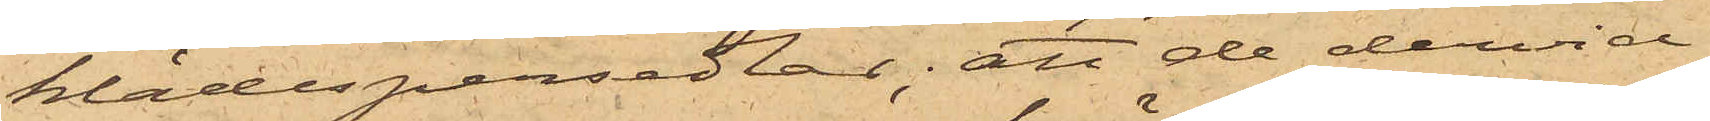klädespersedlar; att de dervid
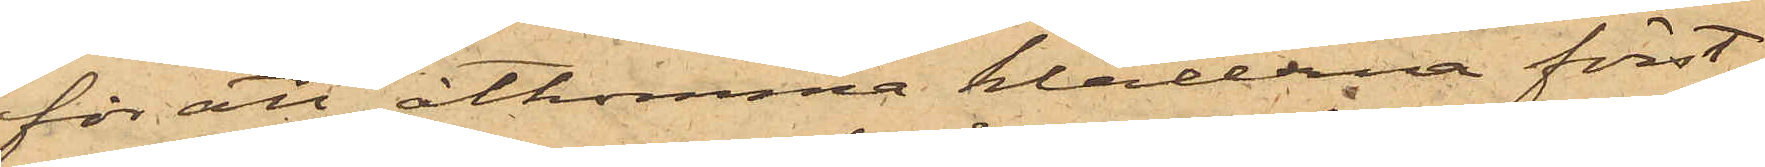för att åtkomma kläderna först
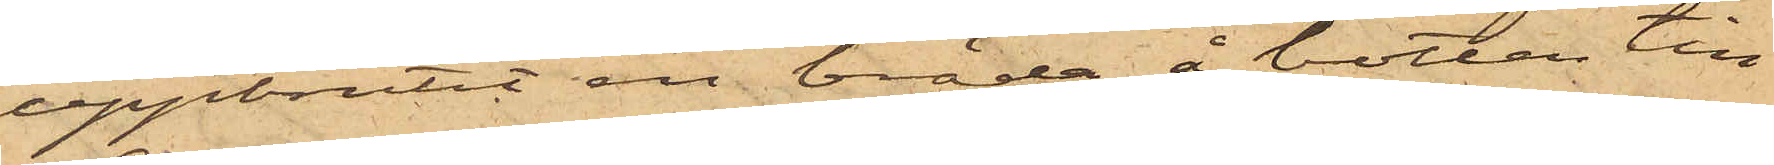uppbrutit en bräda å botten till
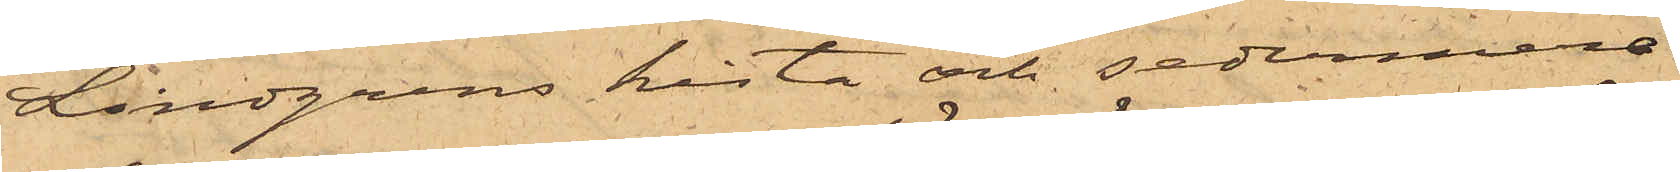Lindgrens kista och sedermera
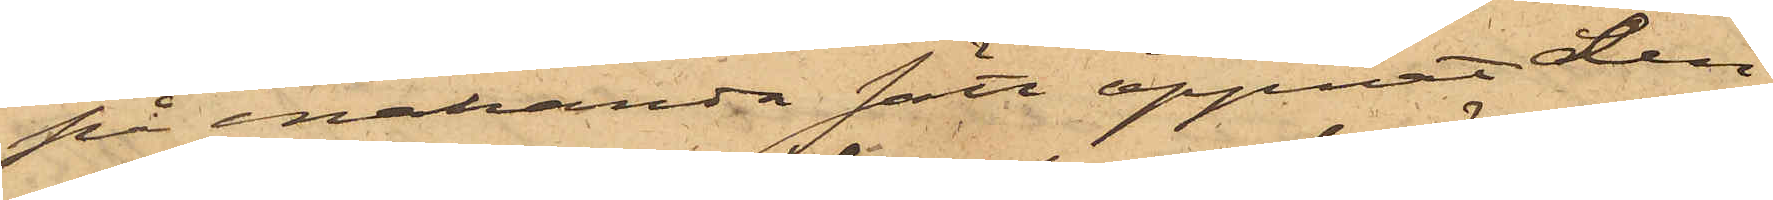på enahanda satt öppnat den
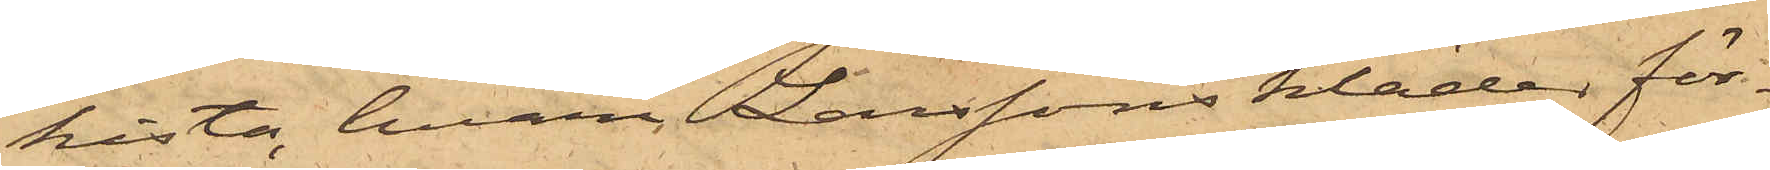kista, hvari Larssons kläder för¬
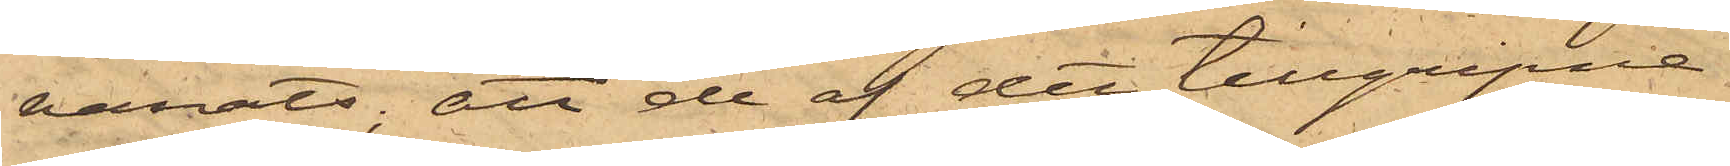varats; att de af det tillgripne
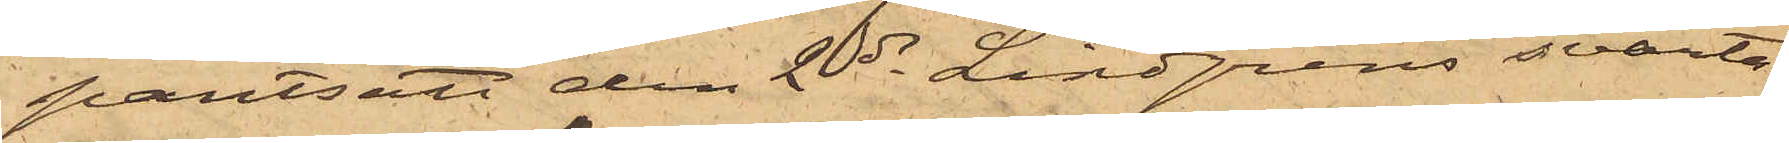pantsatt den 2 ds Lindgrens svarta
